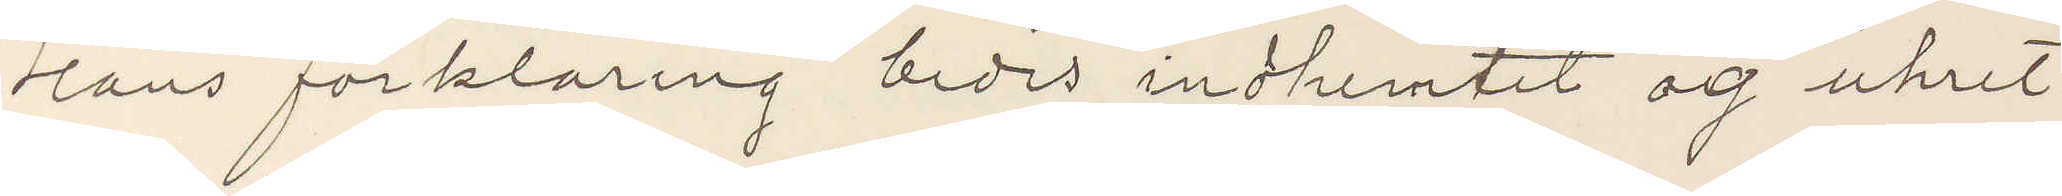Hans förklaring bedes indhemtet og uhret
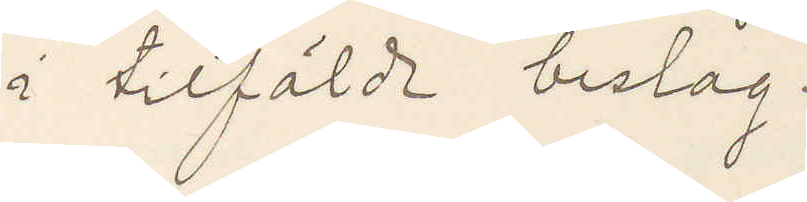i tilfälde beslag.
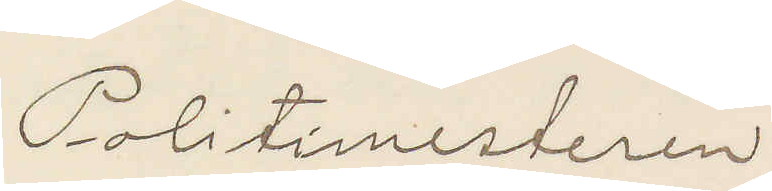Politimesteren.
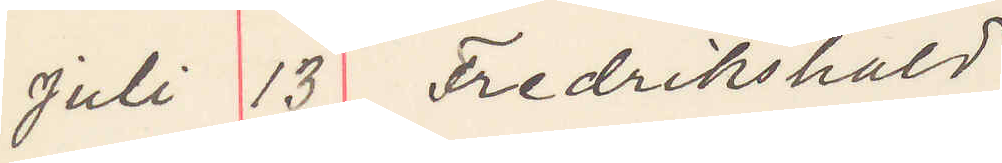Juli 13 Fredrikshald
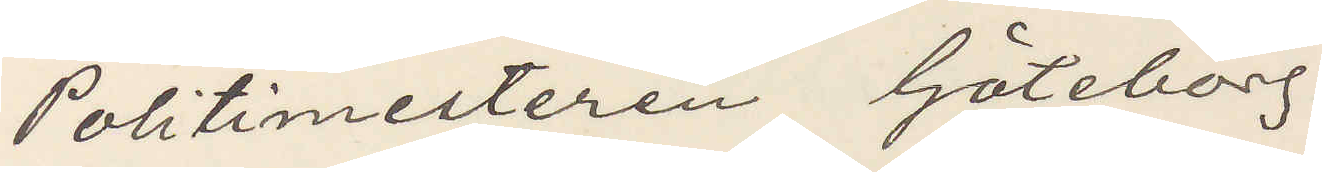Politimesteren Göteborg.
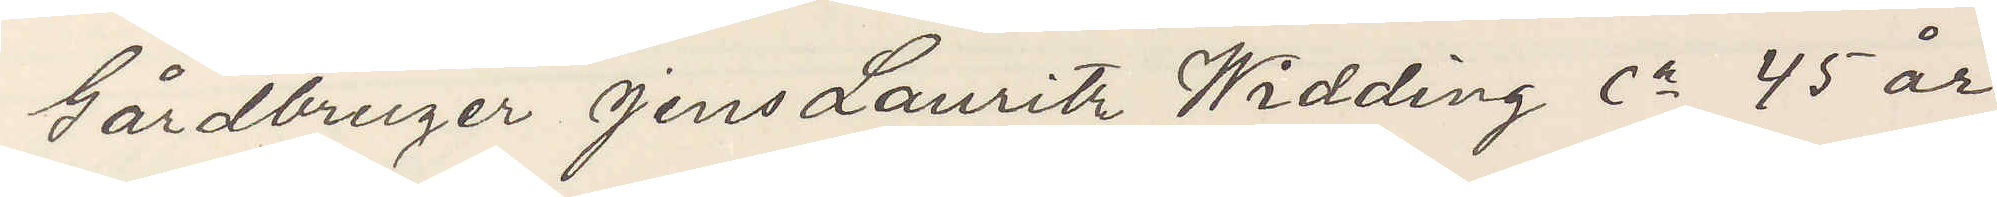Gårdbruger Jens Lauritz Widding ca 45 år
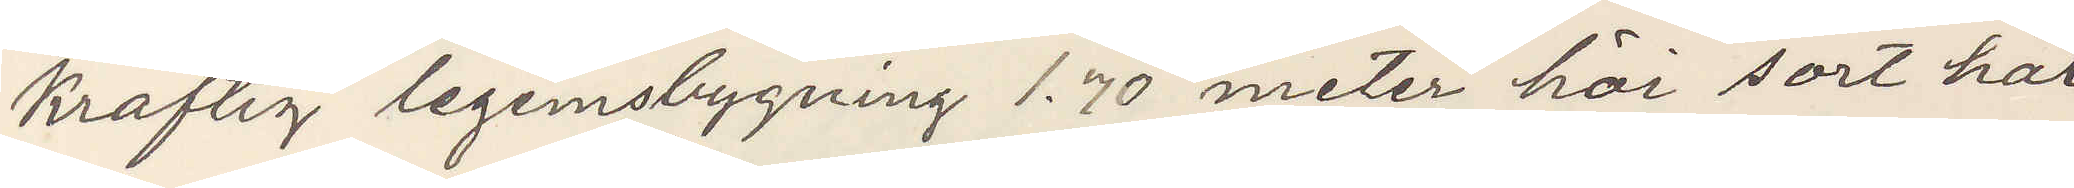kraftig legemsbygning 1.70 meter höi sort hår
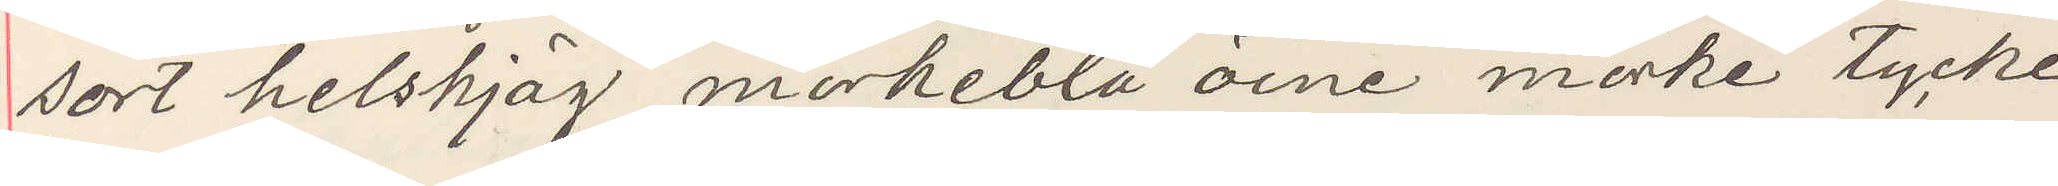sort helskjäg mörkeblå öine mörke tycke
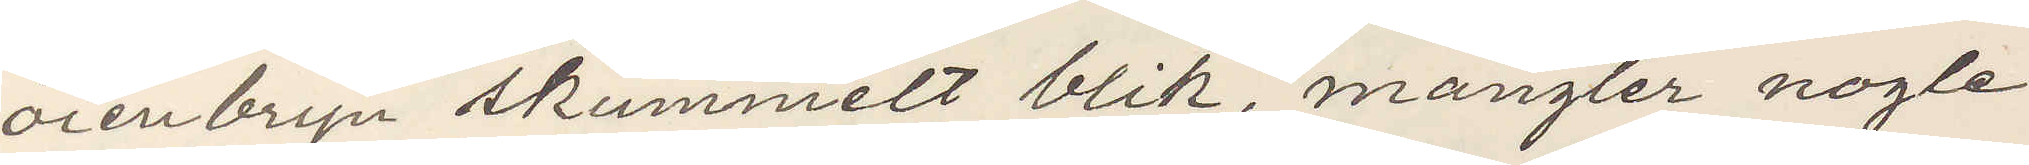öienbryn skummelt blik, mangler nogle
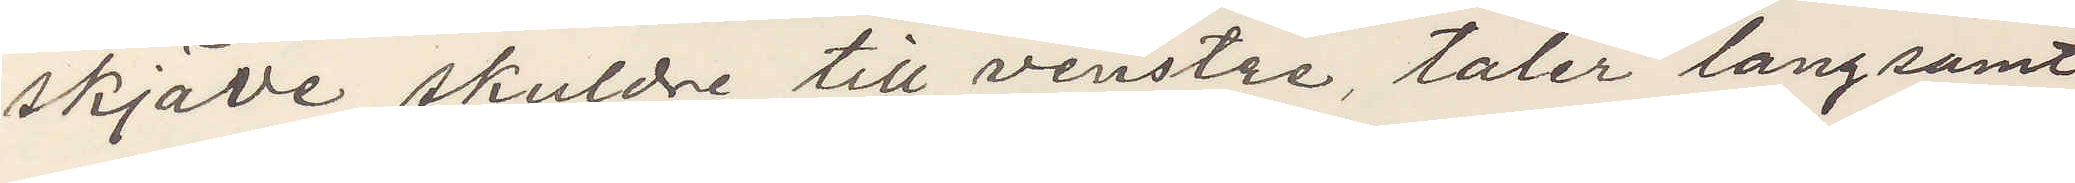skjärve skuldre till venstre, taler langsamt
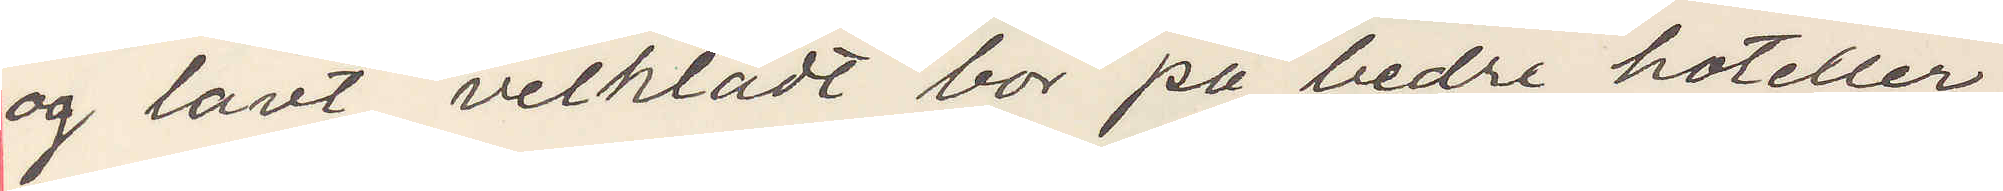og lavt velklädt bor på bedre hoteller,
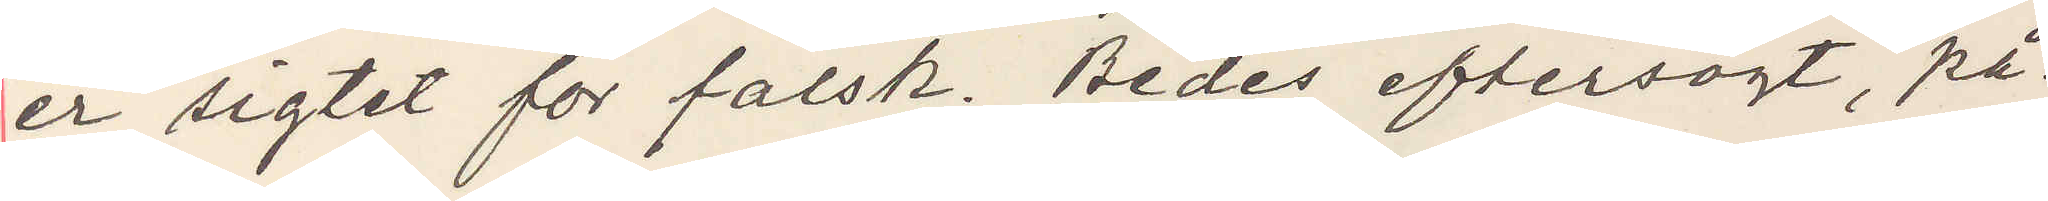er sigtet for falsk. Bedes eftersögt, på¬
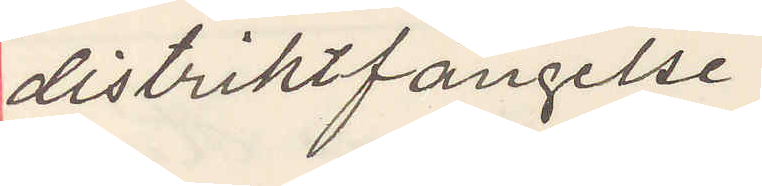distriktfängelse..
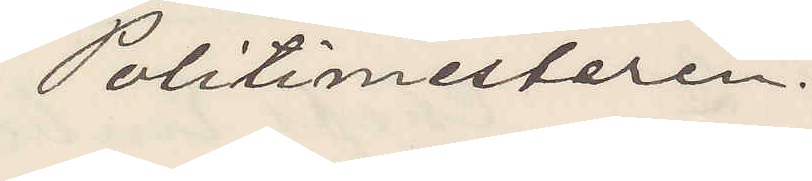Politimesteren.
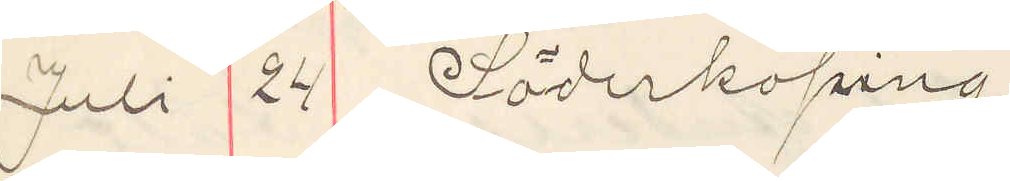Juli 24 Söderköping
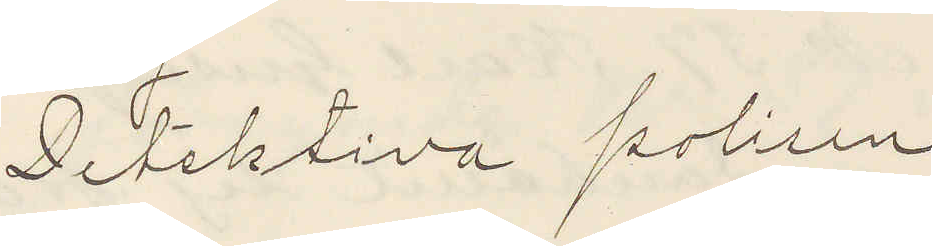Detektiva polisen
